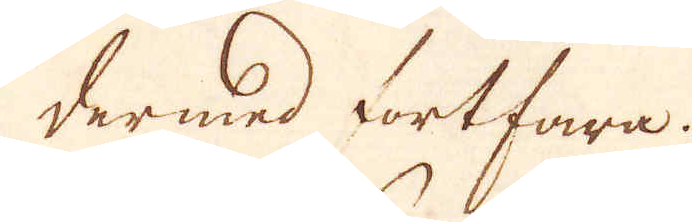dermed fortfora.
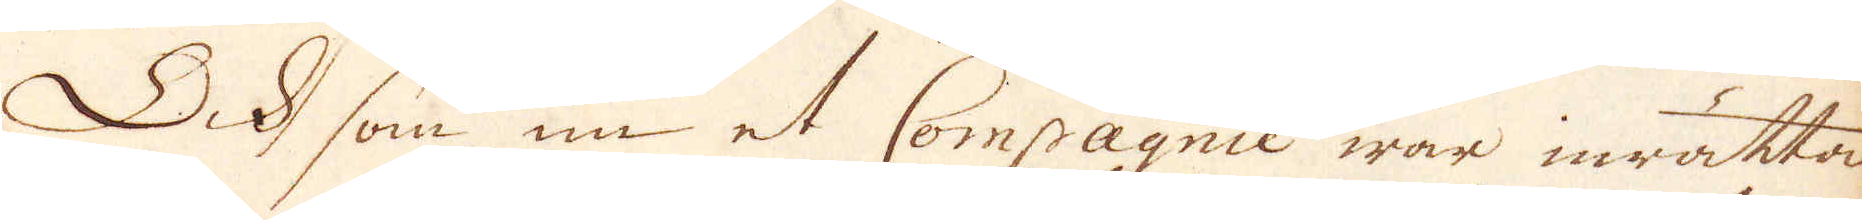Ock som nu et Compagnie war inrättat
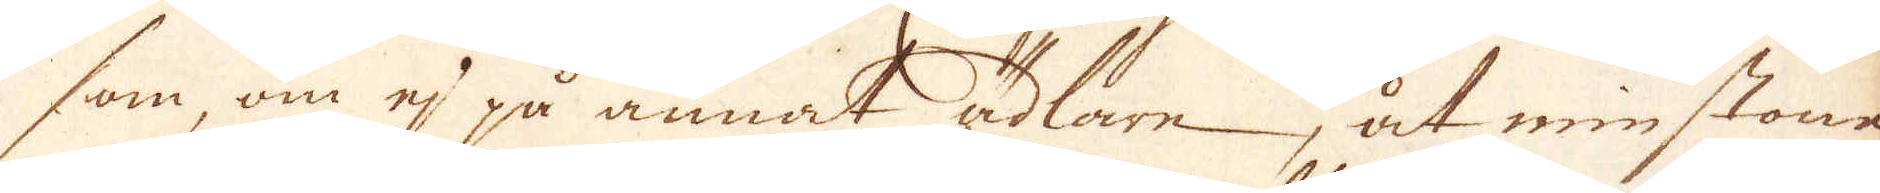som om ej på annat ädlare, åt minstone
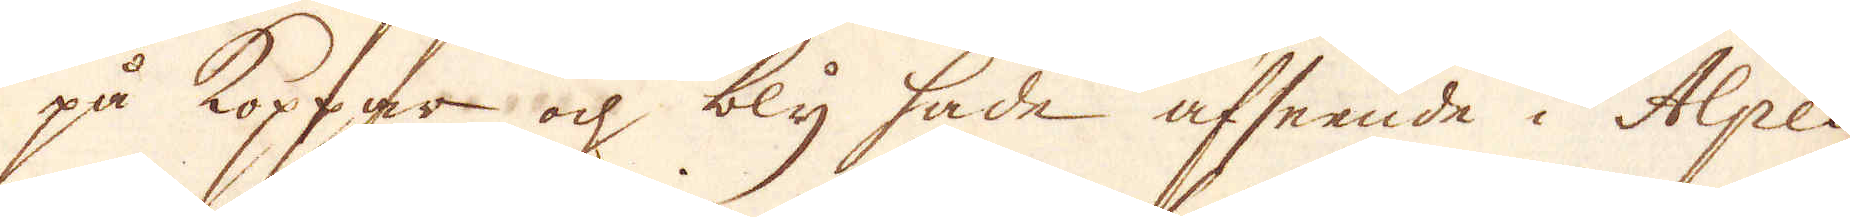på koppar och bly hade afseende i Alpes
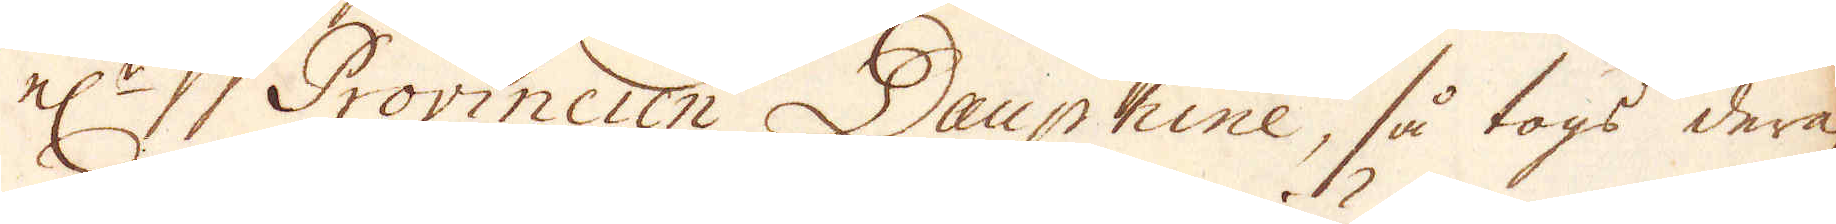el:r Provincien Dauphine, så togs deraf
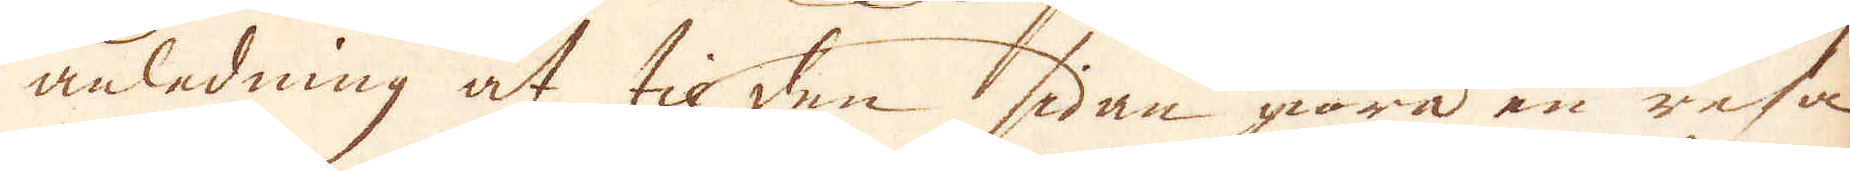anledning at til den sidan giöra en resa.
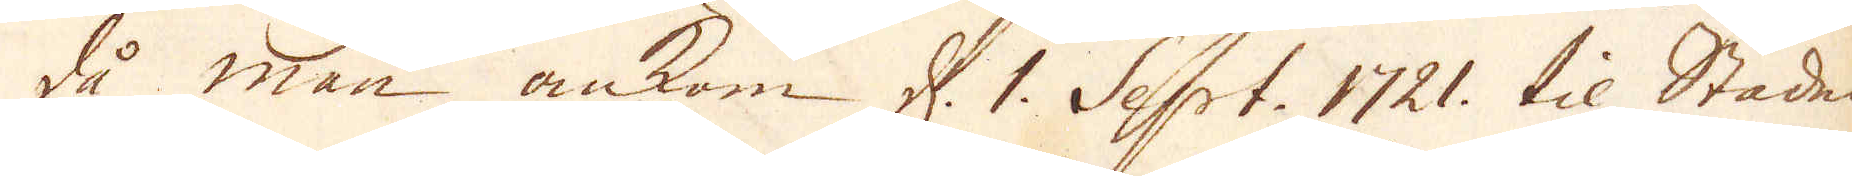Då man ankom d. 1. Sept. 1721. til Staden
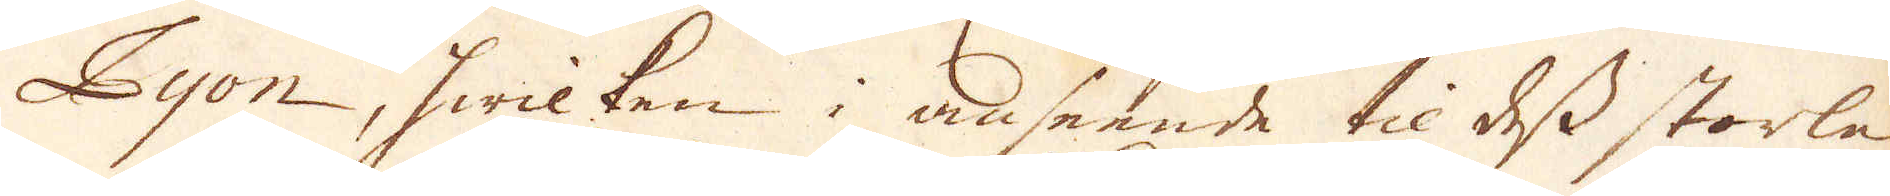Pyon, hwilken i anseende til dess storlek
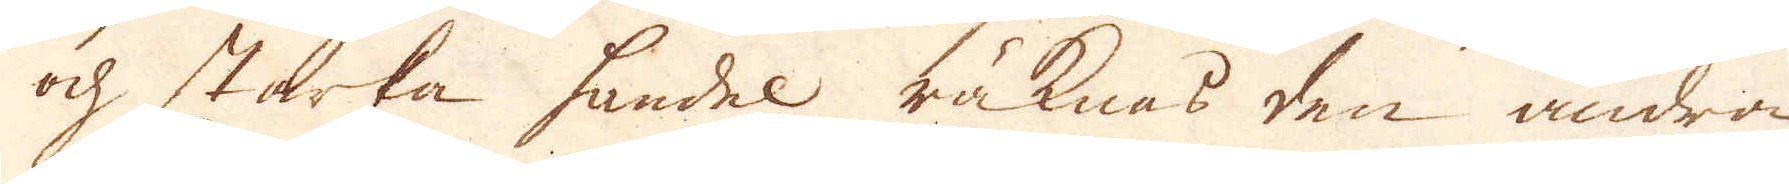och starka handel räknas den andra
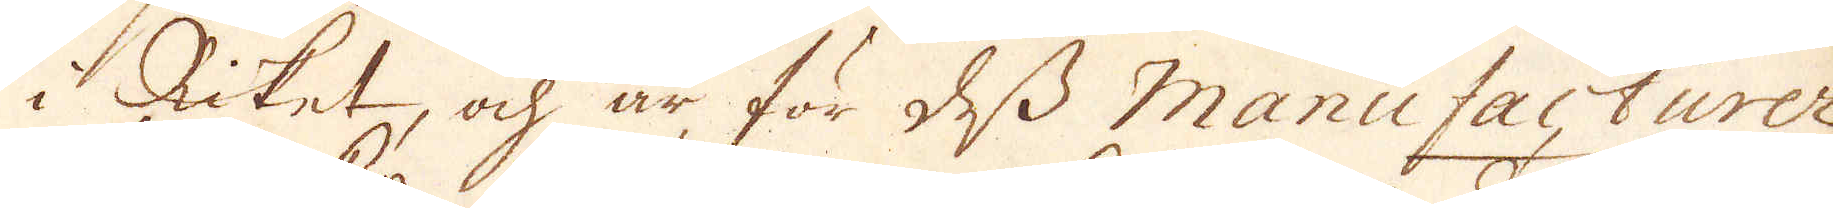i Riket, och är för dess Manufacturer
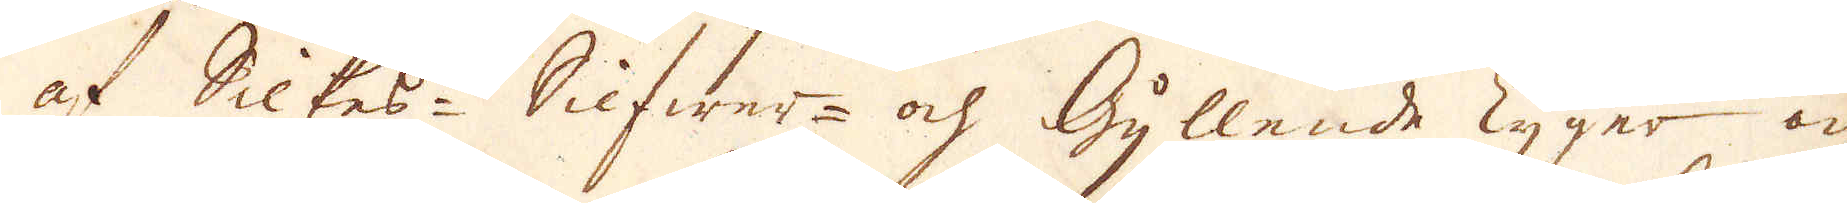af Silkes- Silfwer- och Gyllende Tyger och
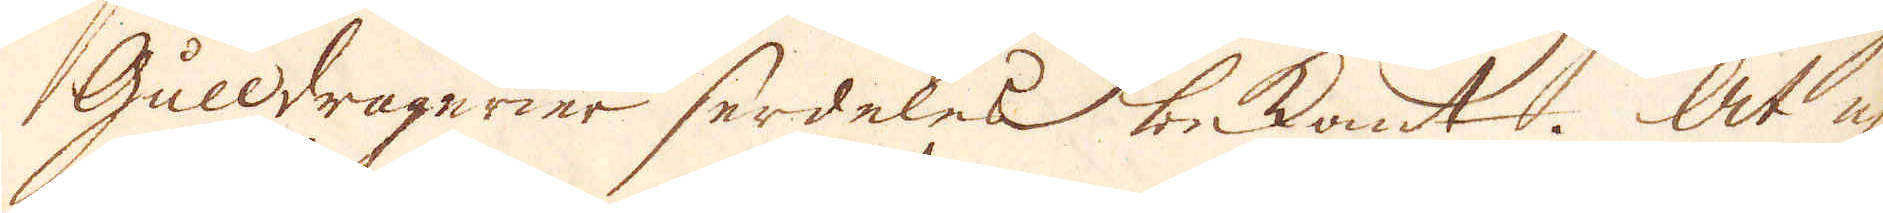Gulddragerier serdeles bekant. At ej
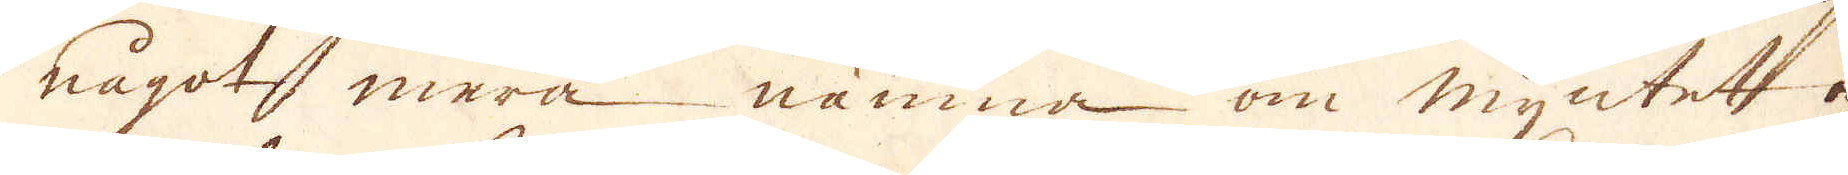något mera nämna om myntet och
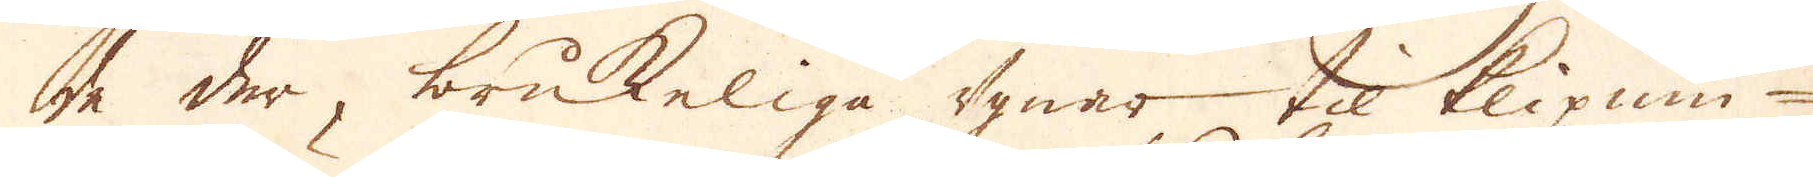de der, brukeliga dynar til klipnin-
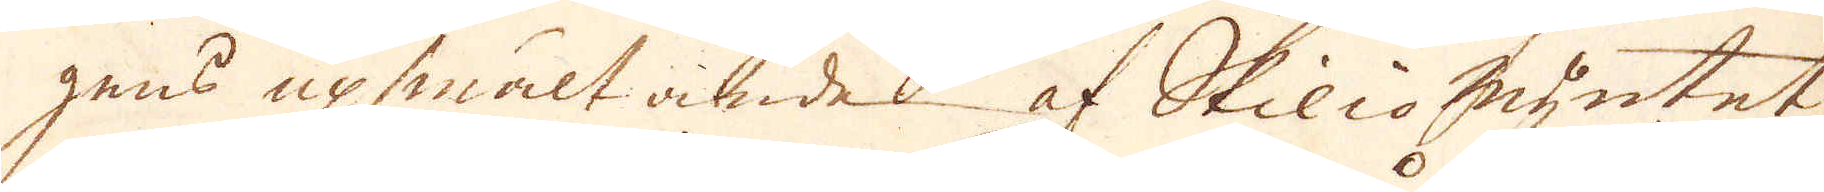gens upsmältande af Skilio myntet,
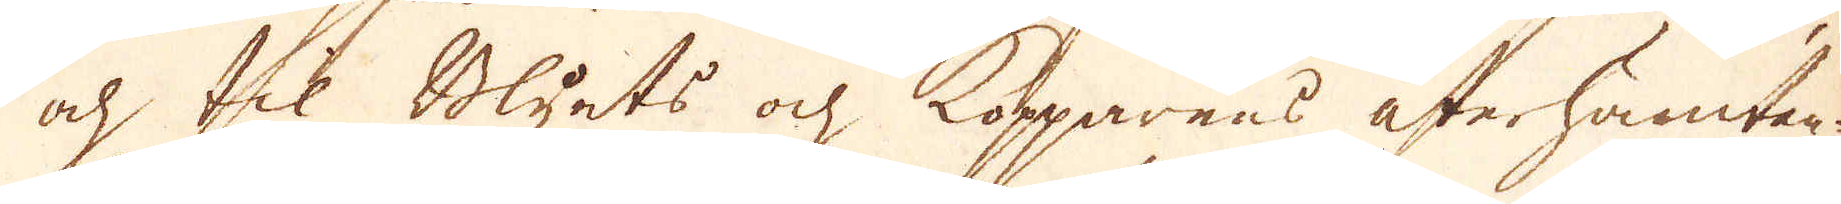ock til Blyets och Kopparens återhämtan-
